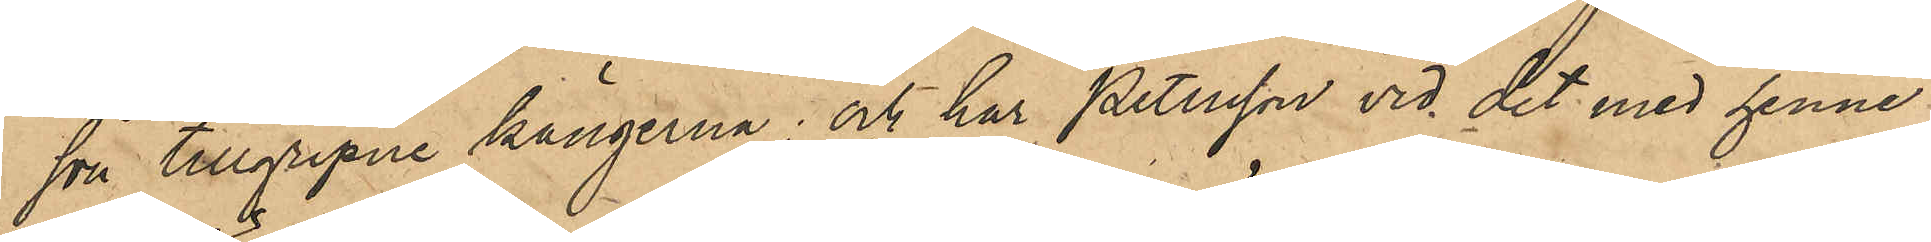son tillgripne kängerna; och har Petersson vid det med henne
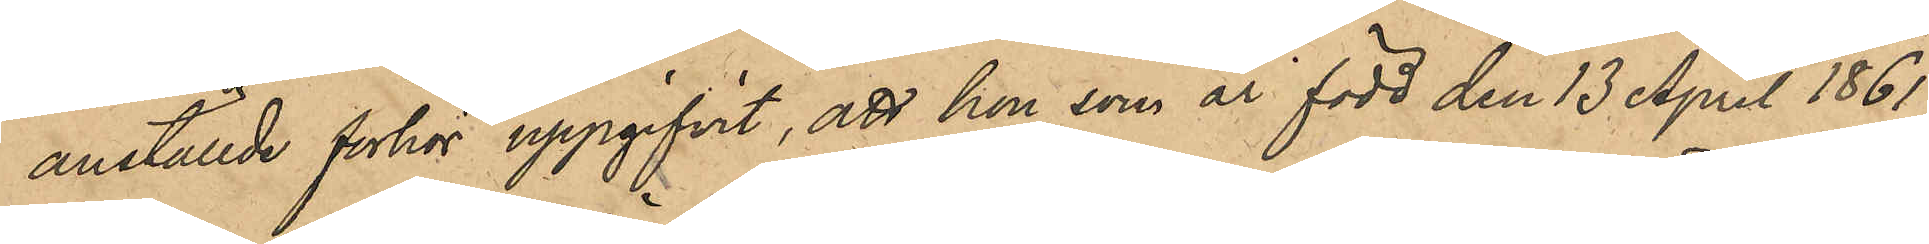anställde förhör uppgifvit, att hon, som är född den 13 April 1861,
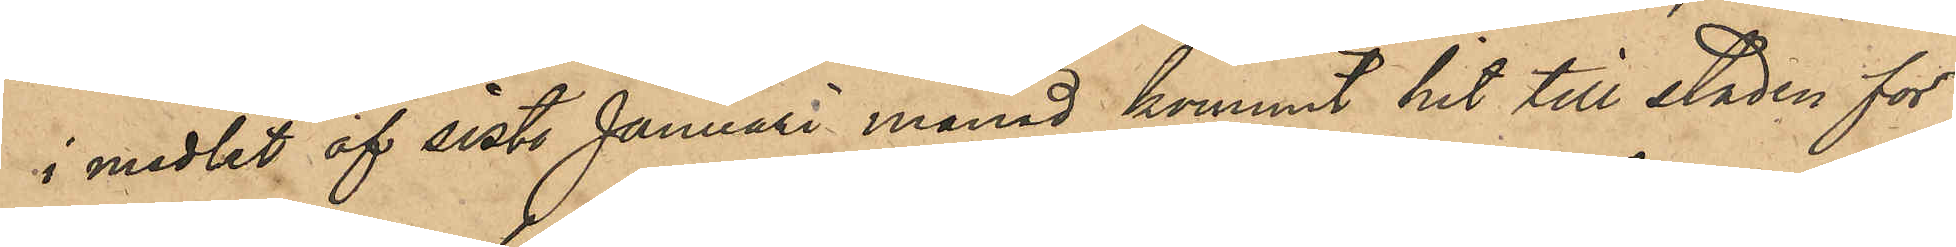i medlet af sist. Januari månad kommit hit till staden för
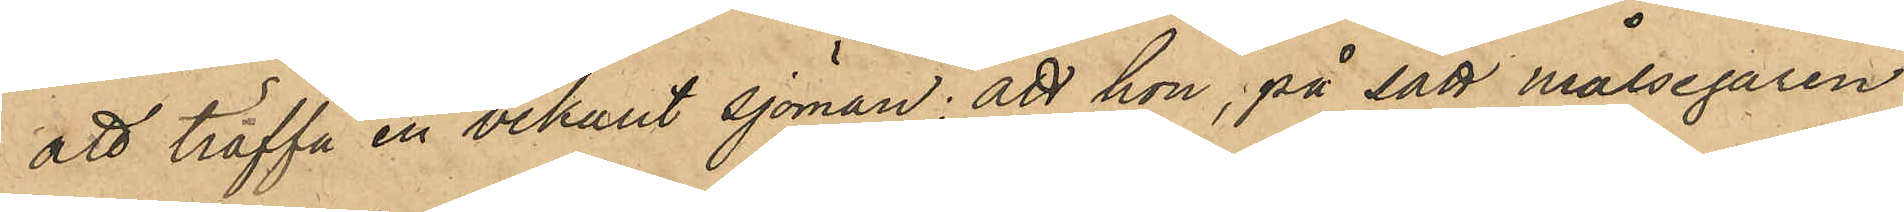att träffa en bekant sjöman; att hon, på sätt målsegaren
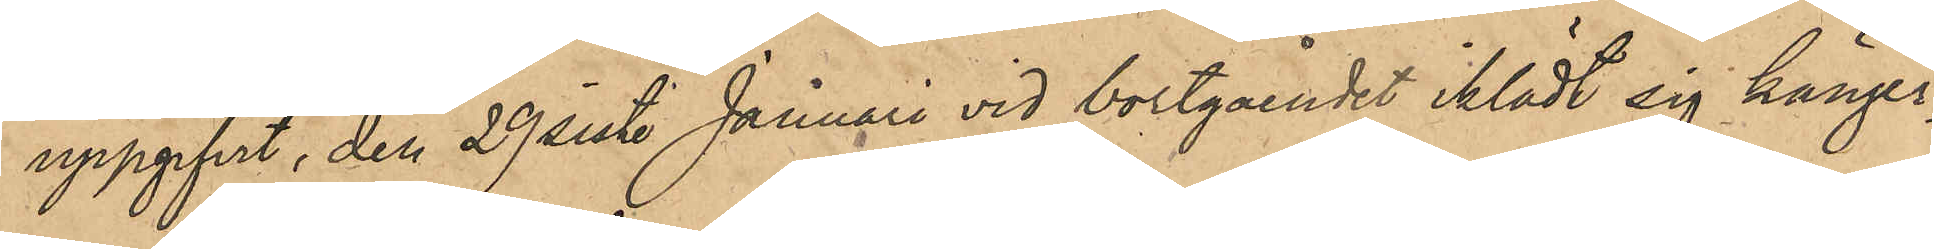uppgifvit, den 29 sist. Januari vid bortgåendet iklädt sig känger¬
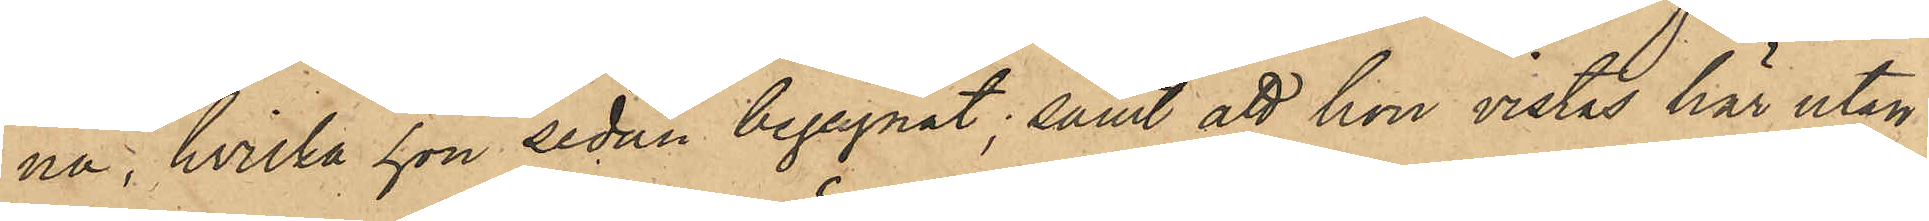na, hvilka hon sedan begagnat; samt att hon vistas här utan
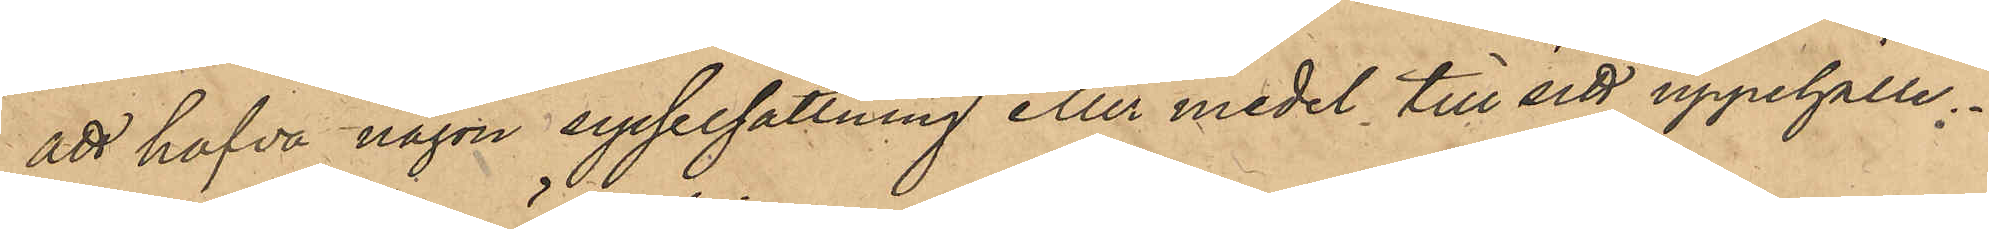att hafva någon sysselsättning eller medel till sitt uppehälle.
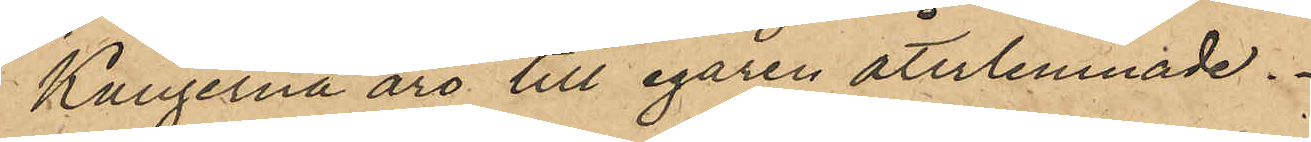Kängerna äro till egaren återlemnade.
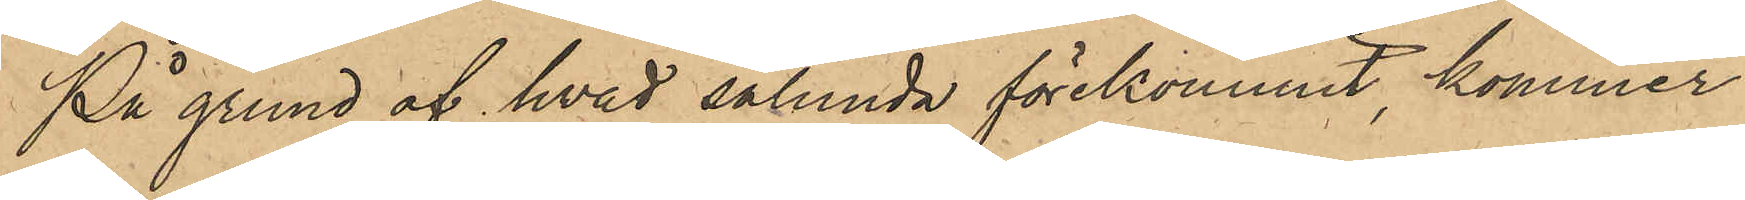På grund af hvad sålunda förekommit, kommer
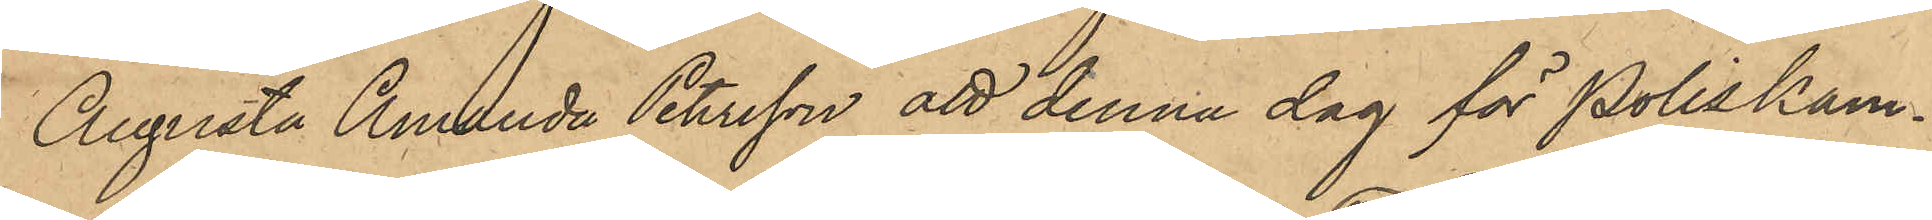Augusta Amanda Petersson att denna dag för Poliskam¬
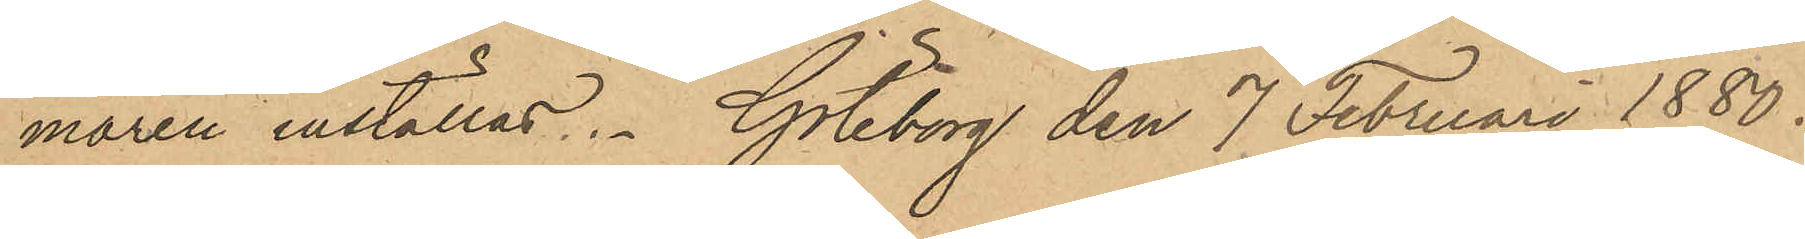maren inställas. Göteborg den 7 februari 1880.
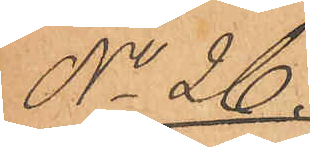No 26.
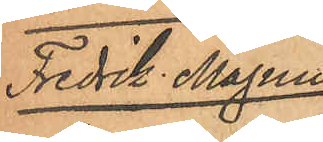Fredrik Magnus
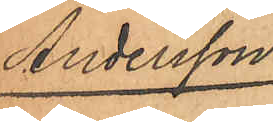Andersson.
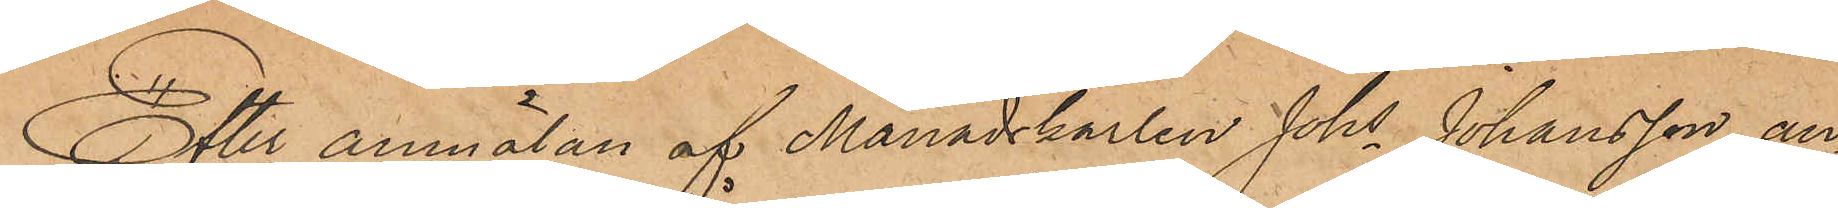Efter anmälan af Månadskarlen Johs Johansson, an¬
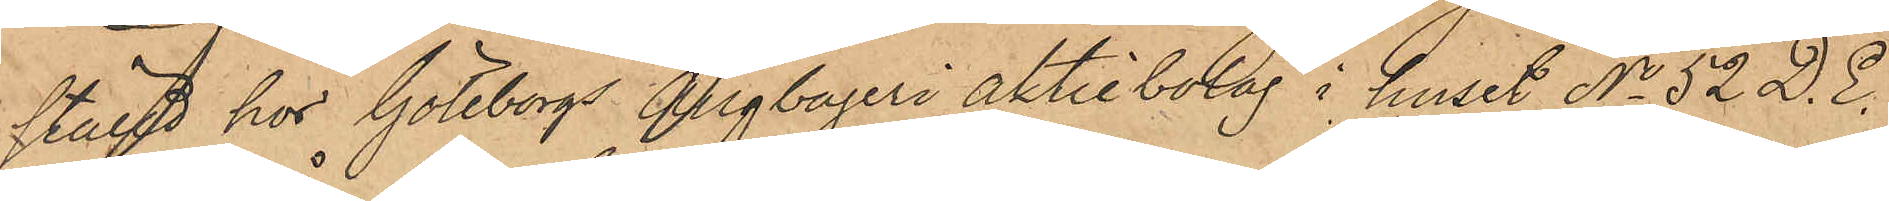ställd hos Göteborgs Ångbageri aktiebolag i huset No 52 D. E.
